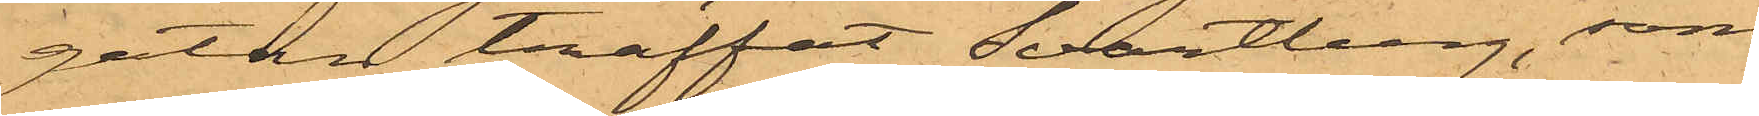gatan träffat Svartberg, som
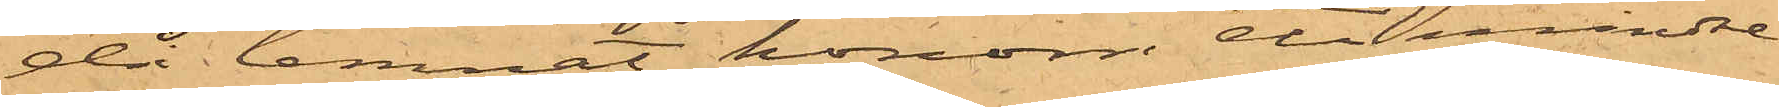då lemnat honom att mindre
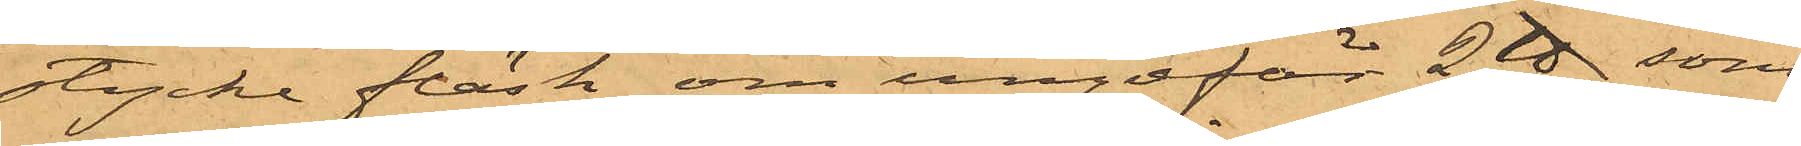stycke fläsk om ungefär 2 ℔, som
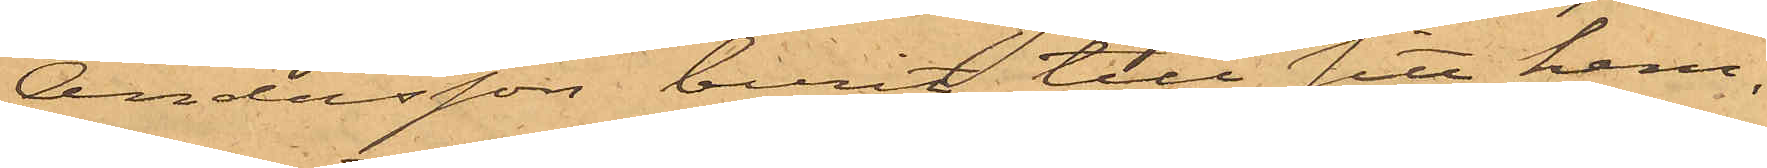Andersson burit till sitt hem,
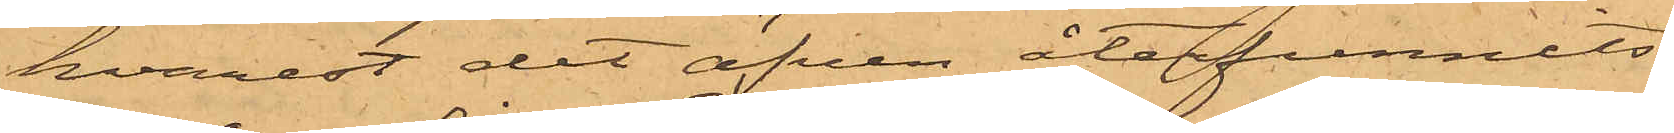hvarest det äfven återfunnits.
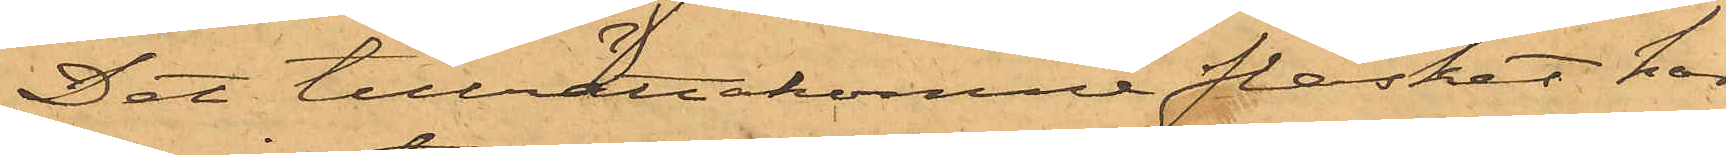Det tillrättakomne fläsket har
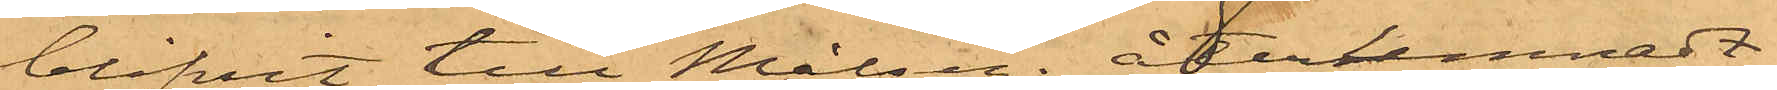blifvit till Målseg. återlemnadt.
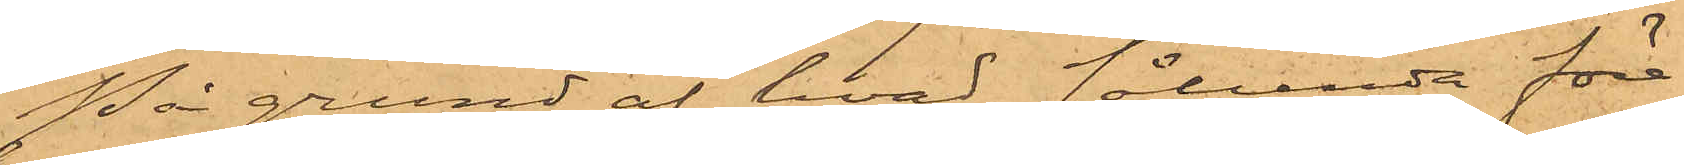På grund af hvad sålunda före¬
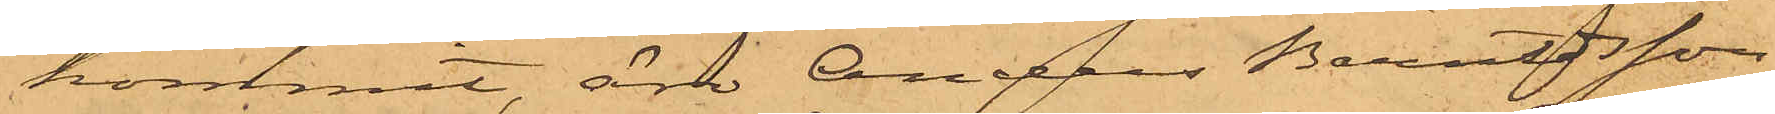kommit, äro Anders Berndtsson
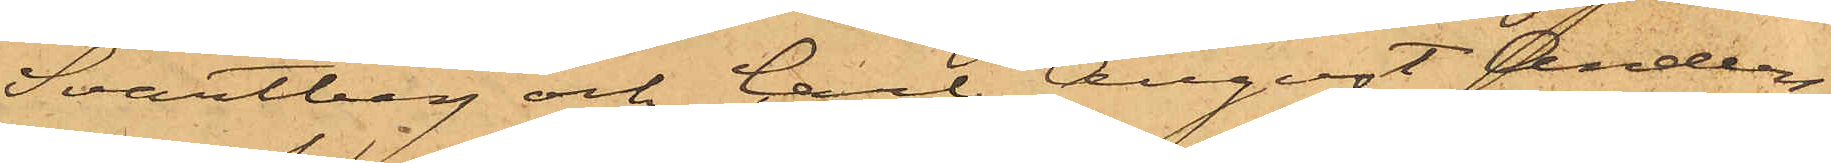Svartberg och Carl August Anders¬
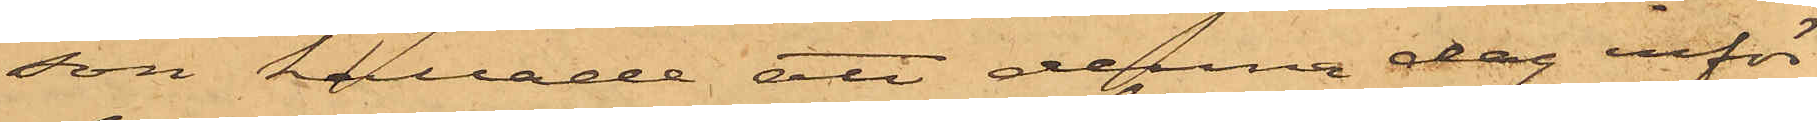son kallade att denna dag inför
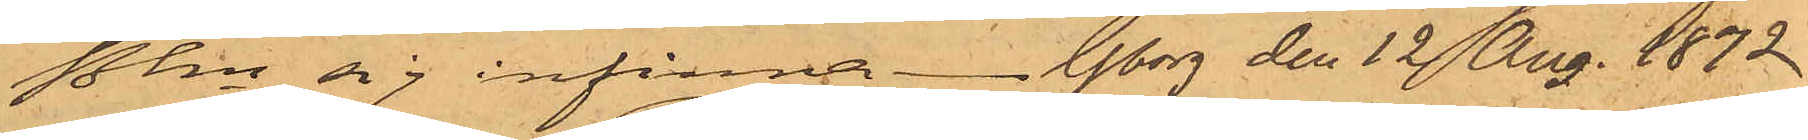Pkn sig infinna. Gborg den 12 Aug. 1872
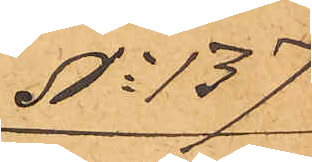No 137
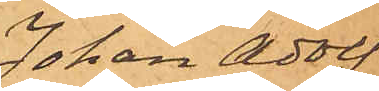Johan Adolf
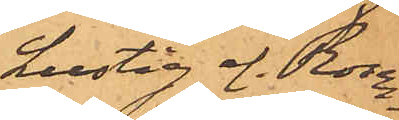Lustig el. Rosen¬
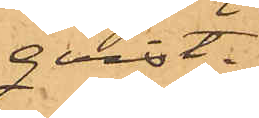qvist.
